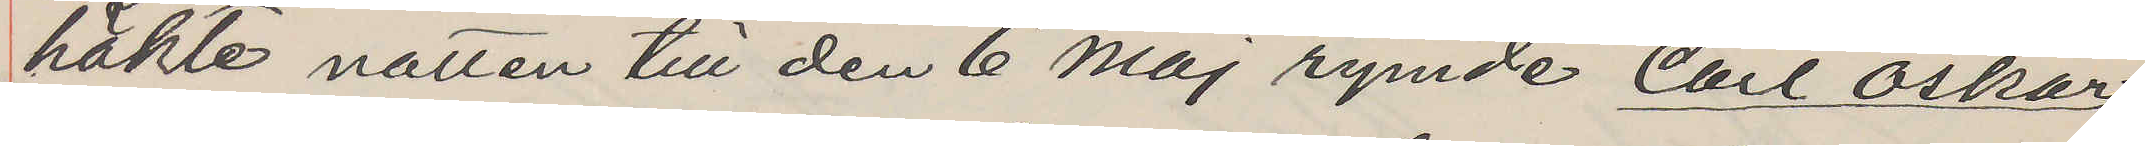häkte natten till den 6 Maj rymde Carl Oskar
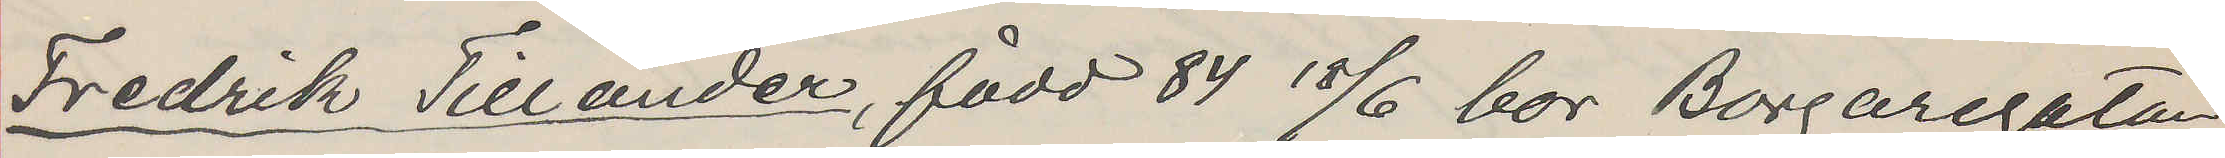Fredrik Tillander, född 84 18/6 bor Borgaregatan
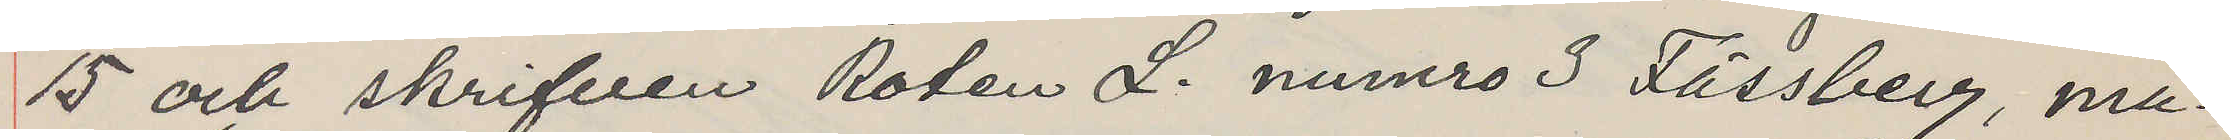5 och skrifven Roten L. numro 3 Fässberg, ma¬
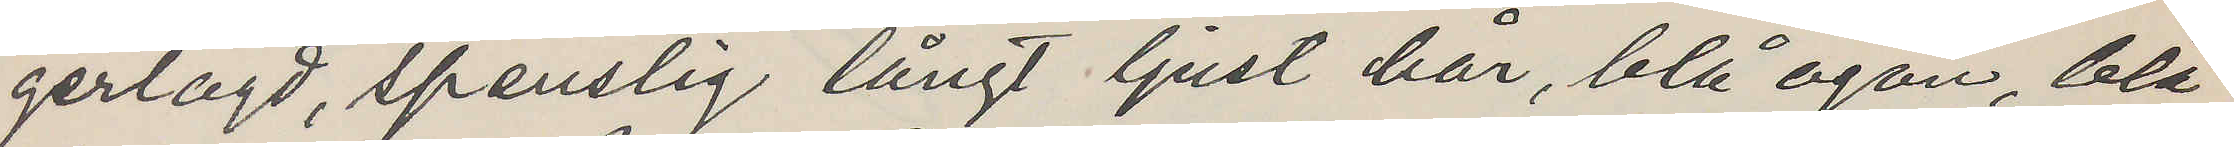gerlagd, spenslig långt ljust hår, blå ögon, blå
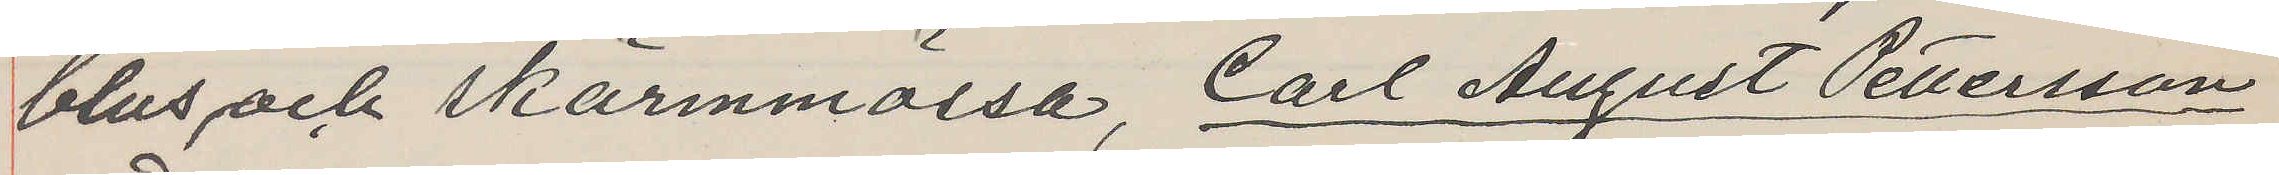blus och skärmmössa, Carl August Pettersson
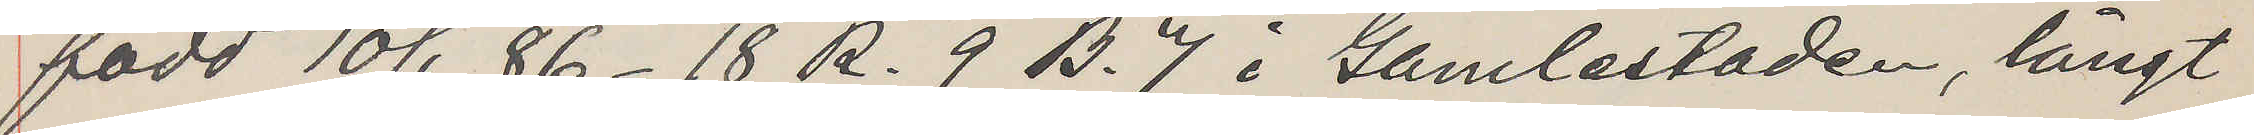född 10/1 86-18 R. 9 B. 7 i Gamlestaden, långt
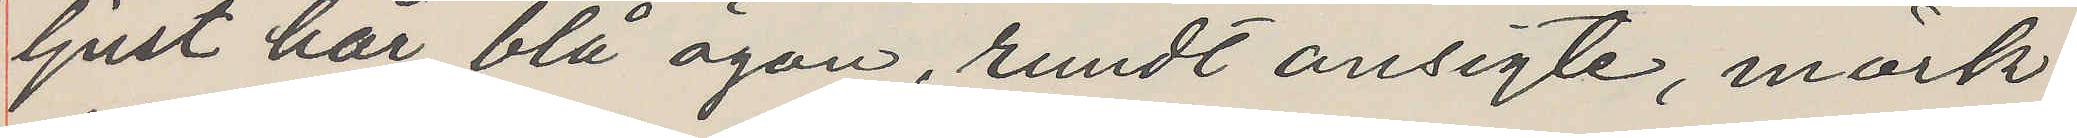ljust hår, blå ögon, rundt ansigte, mörk
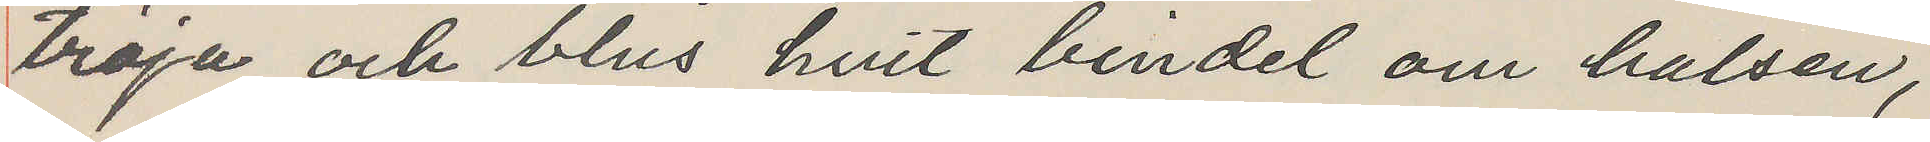tröja och blus hvit bindel om halsen,
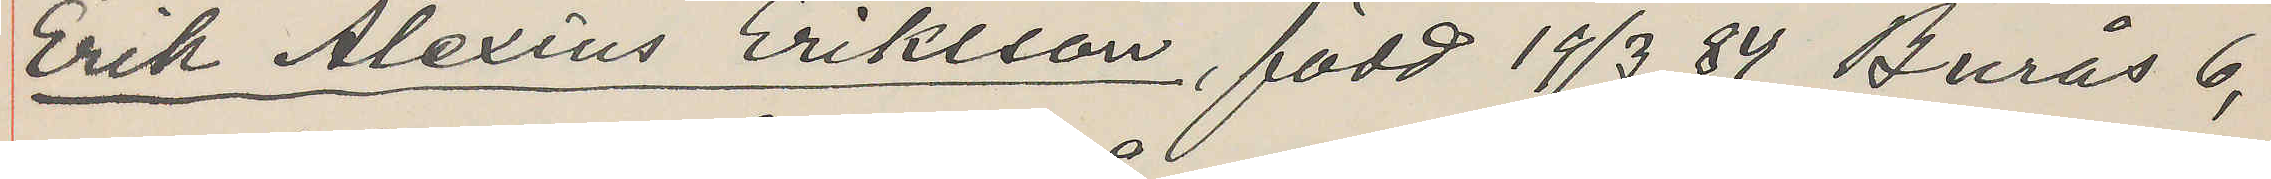Erik Alexius Eriksson, född 19/3 84 Burås 6,
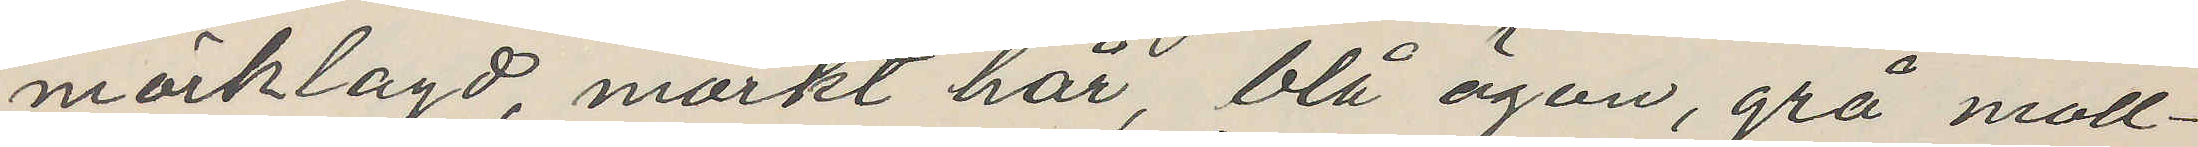mörklagd, mörkt hår, blå ögon, grå moll¬
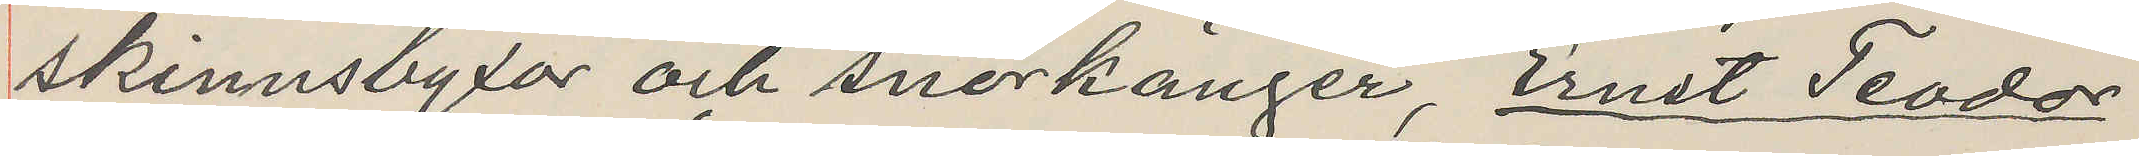skinnsbyxor och snörkänger, Ernst Teodor
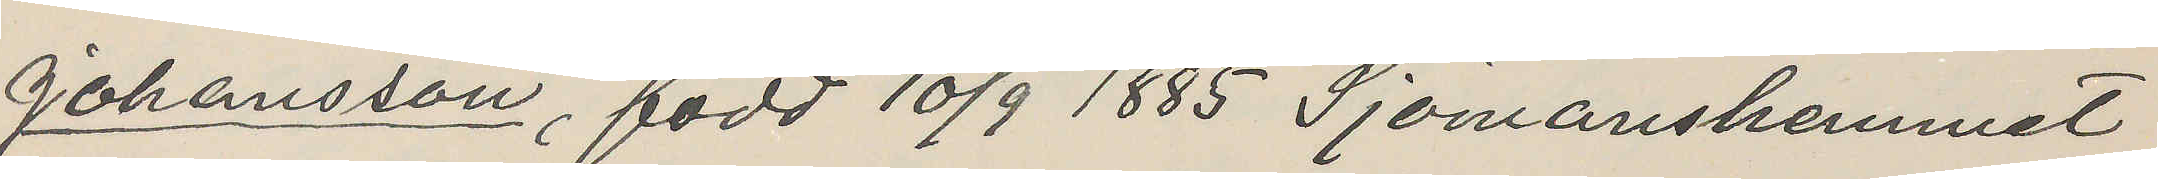Johansson, född 10/9 1885 Sjömanshemmet
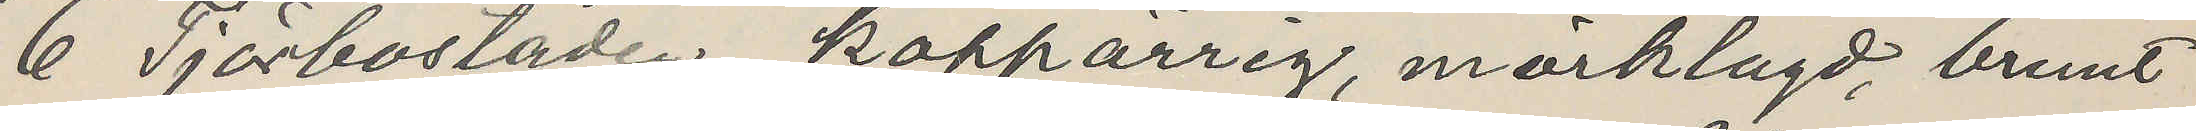6 Tjärbostaden, koppärrig, mörklagd, brunt
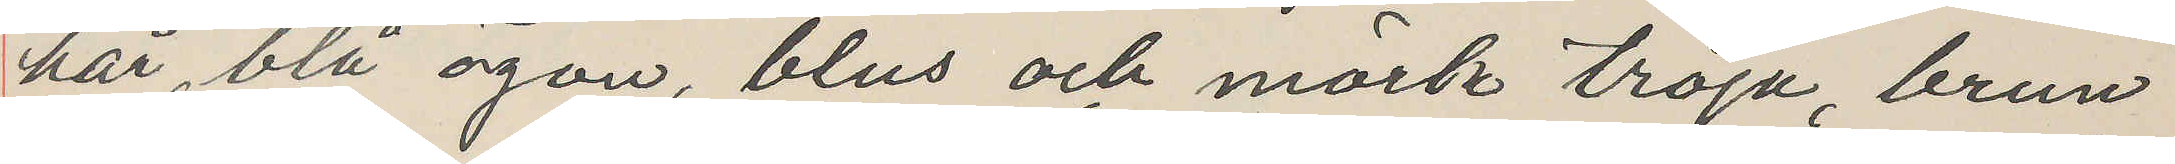hår, blå ögon, blus och mörk tröja, brun
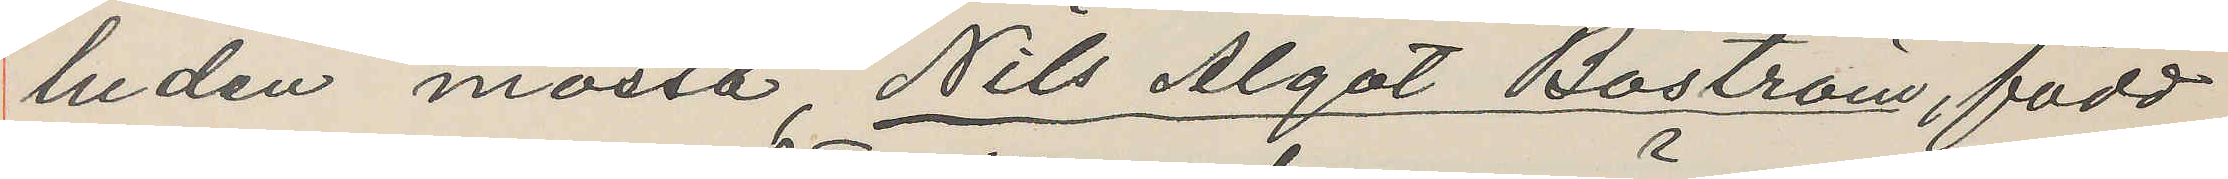luden mössa, Nils Algot Boström, född
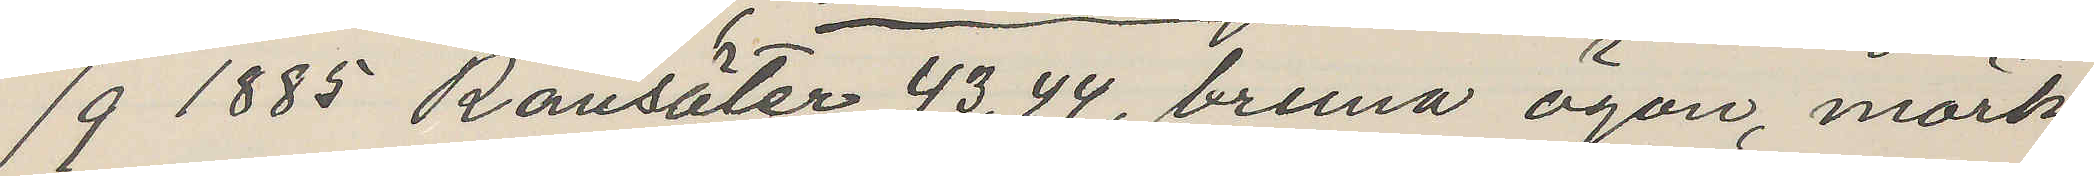/9 1885 Ransäter 43,44, bruna ögon, mörk
